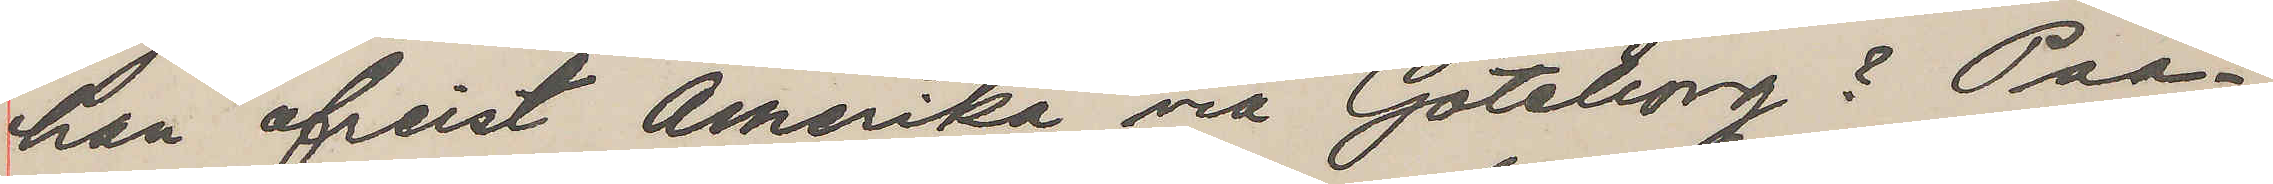han afreist Amerika via Göteborg? Paa¬
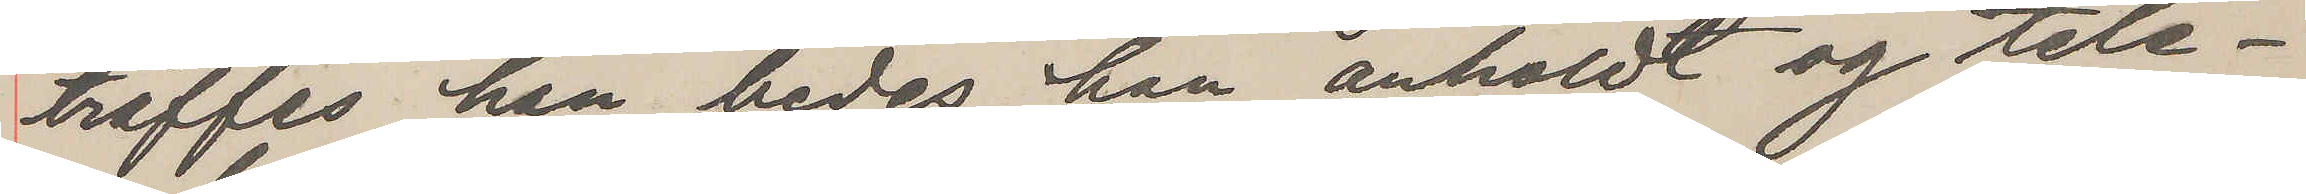träffes han, bedes han anholdt og tele¬
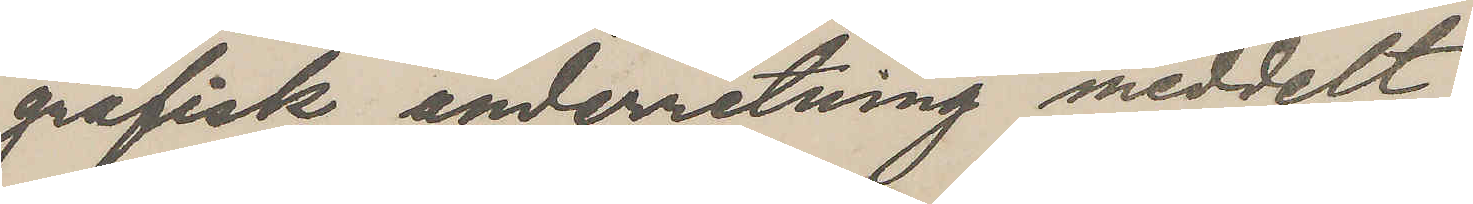grafisk underretning meddelt
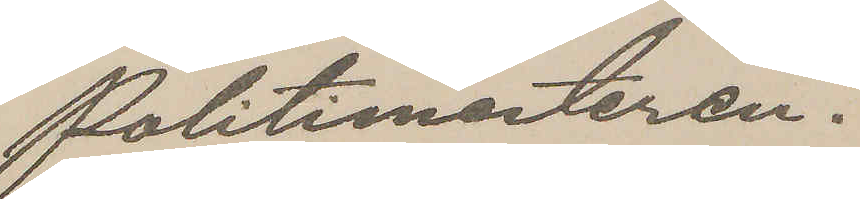Politimesteren.
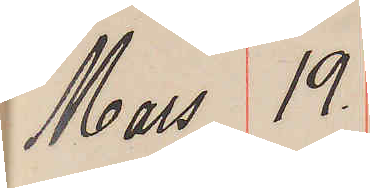Mars 19.
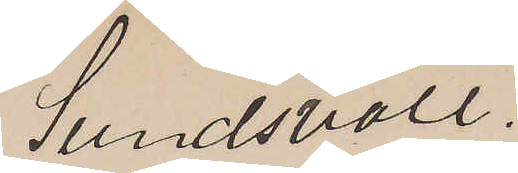Sundsvall.
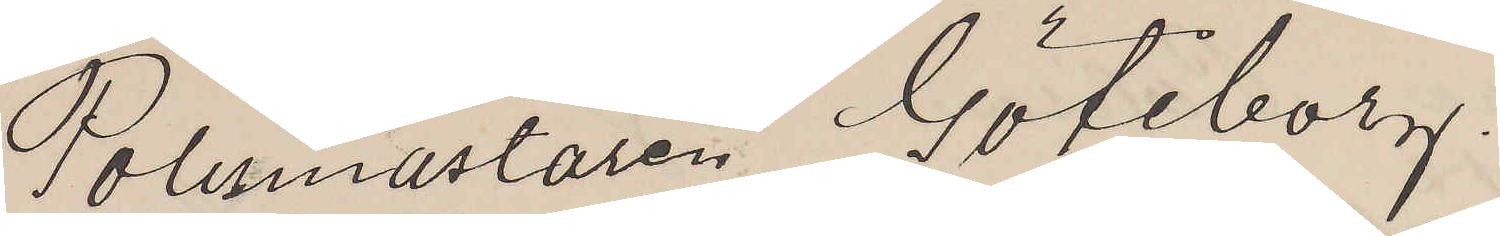Polismästaren Göteborg.
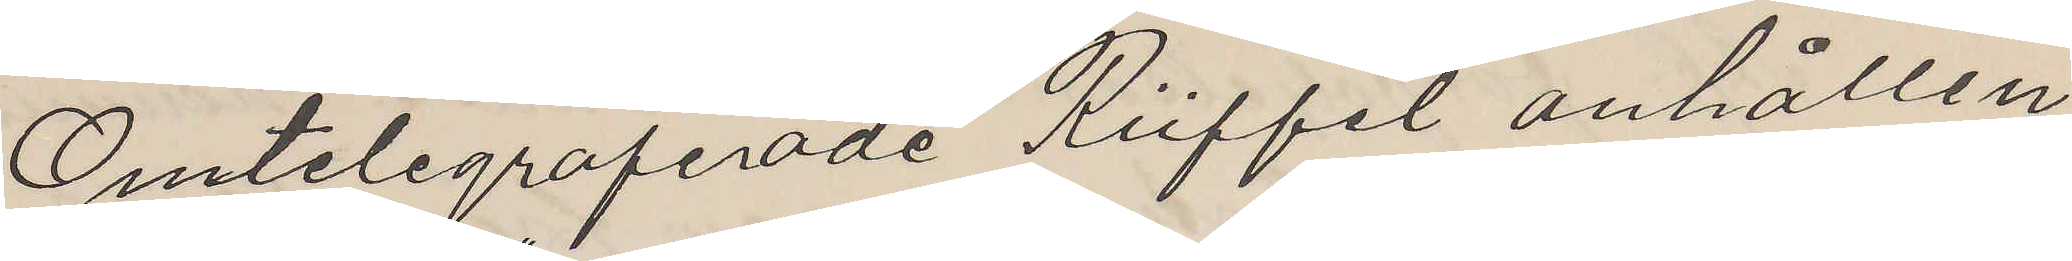Omtelegraferade Rüffel anhållen
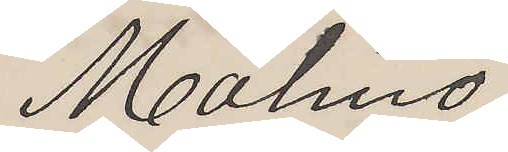Malmö.
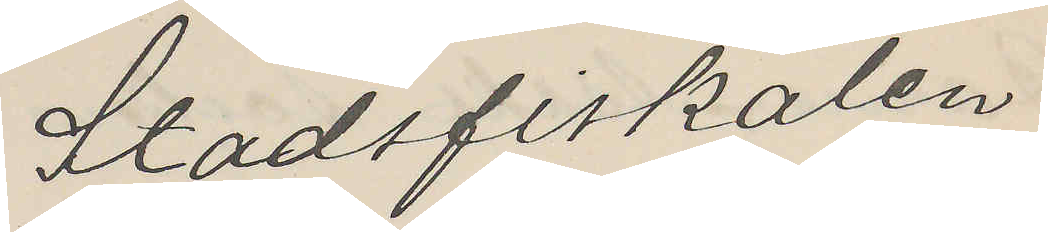Stadsfiskalen
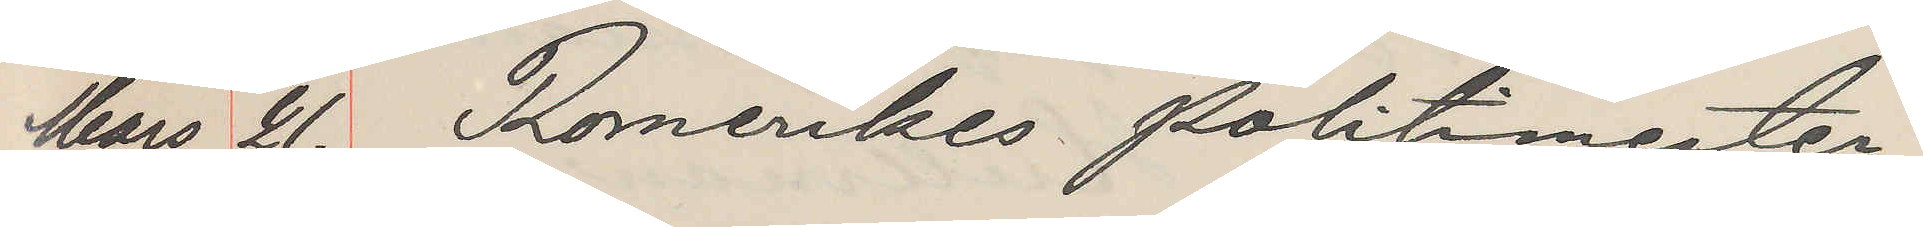Mars 21. Romerikes Politimester
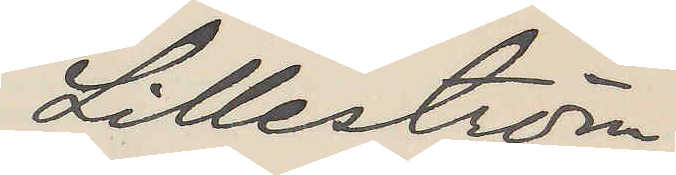Lilleström.
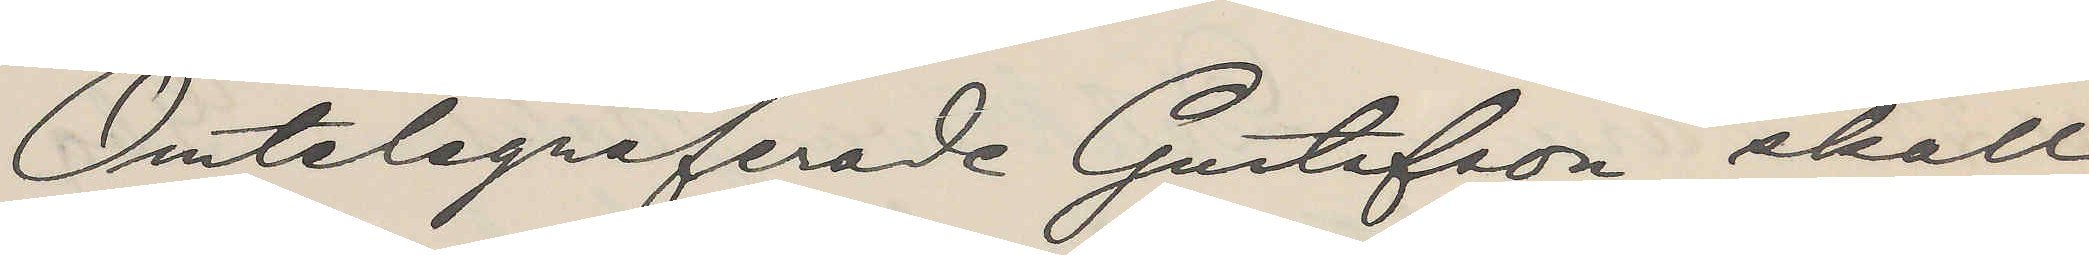Omtelegraferade Gustafson skall
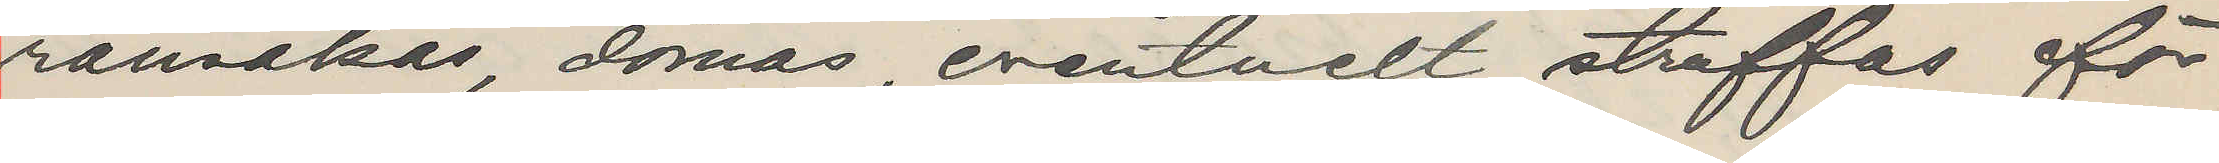ransakas, dömas, eventuelt straffas för
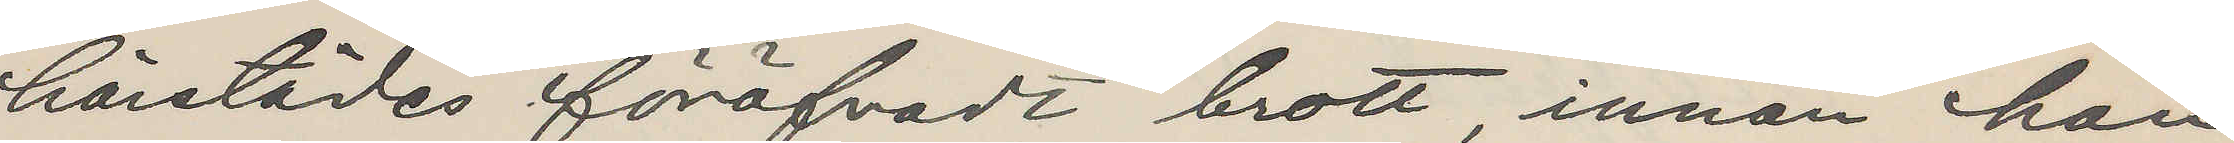härstädes föröfvadt brott, innan han
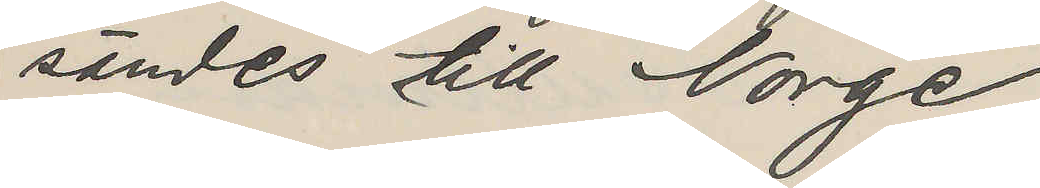sändes till Norge.
